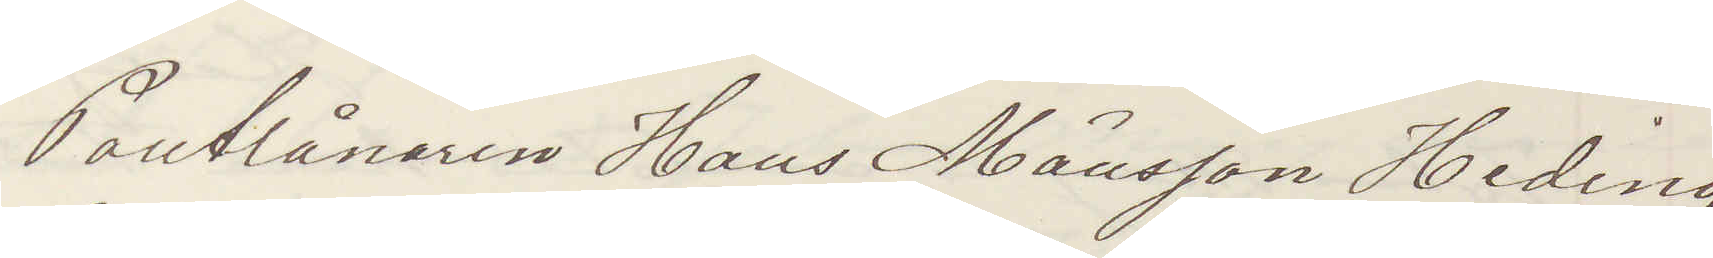Pantlånaren Hans Månsson Heding
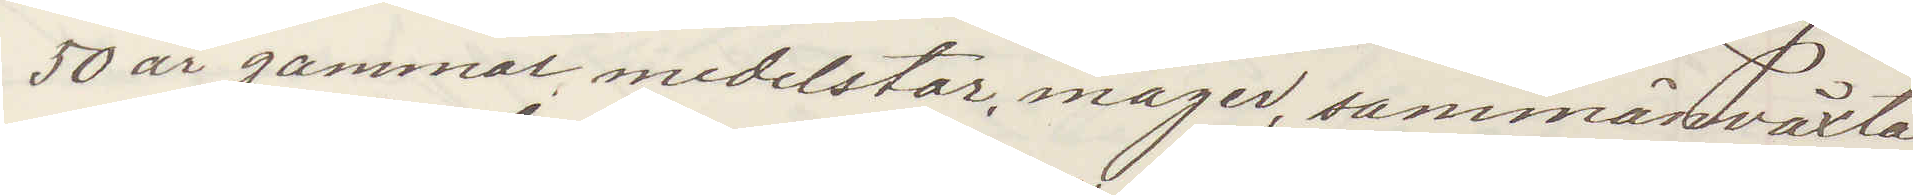50 år gammal medelstor, mager, sammanväxta
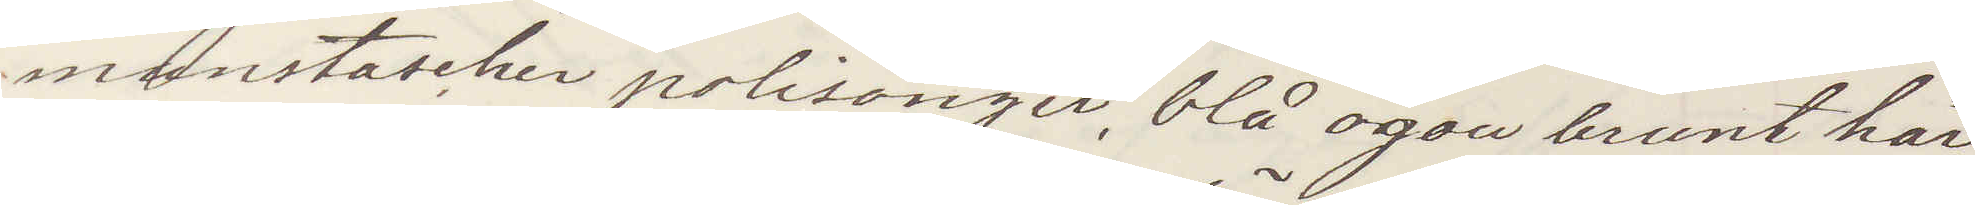munstascher polisonger, blå ögon brunt hår
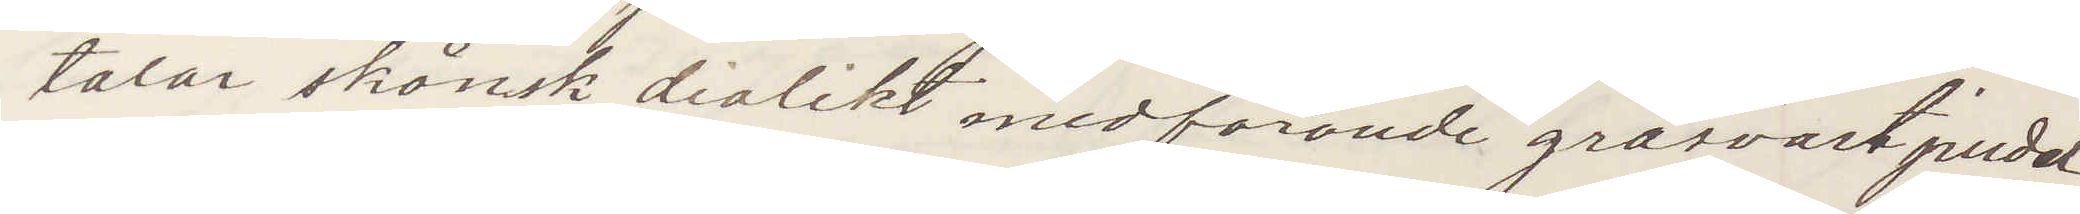talar skånsk dialikt medförande gråsvart pudel
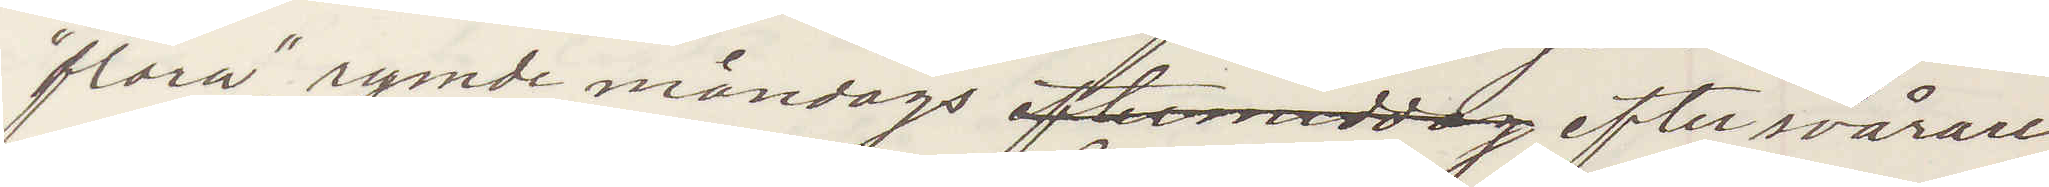"Flora". rymde måndags eftermiddag efter svårare
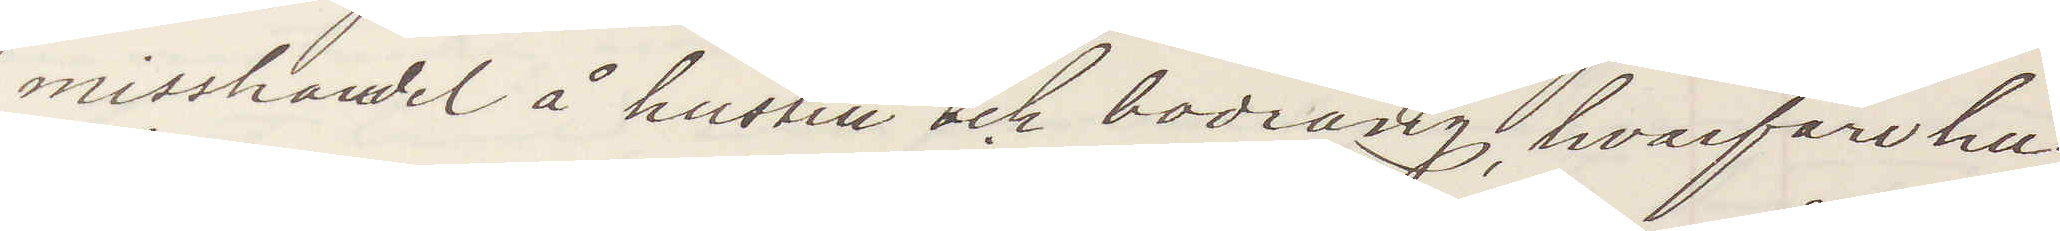misshandel å hustru och bodräng, hvarför hu¬
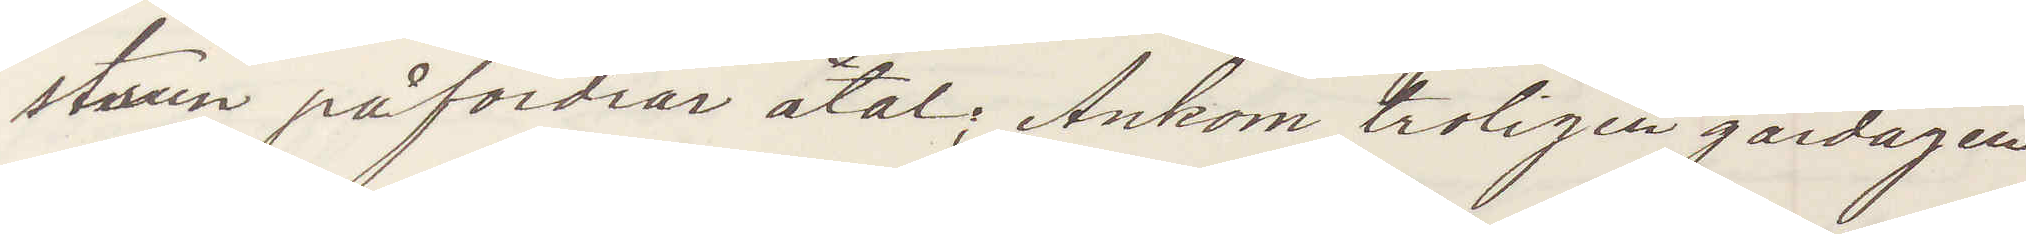strun påfordrar åtal; Ankom troligen gårdagen
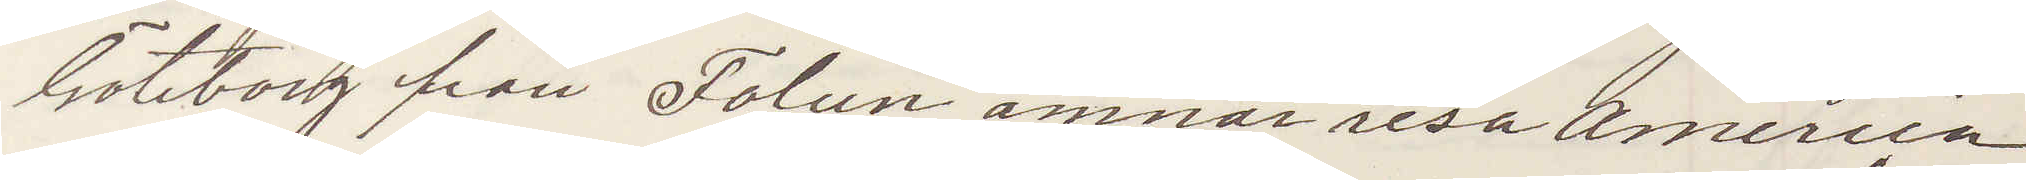Göteborg från Falun ämnar resa America
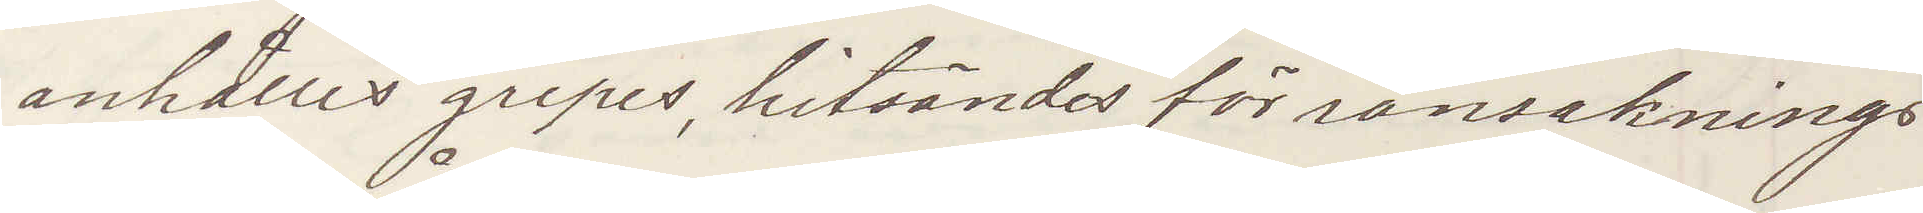anhålles gripes, hitsändes för ransaknings
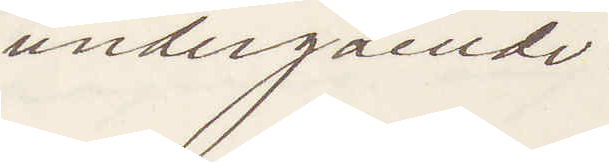undergående.
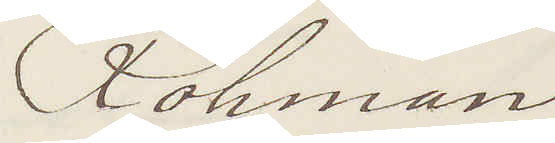Röhman
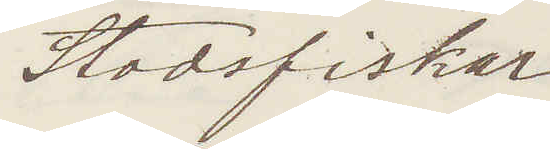Stadsfiskal
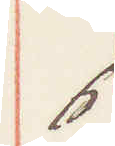6
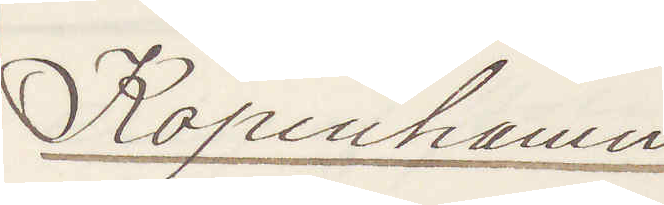Köpenhamn
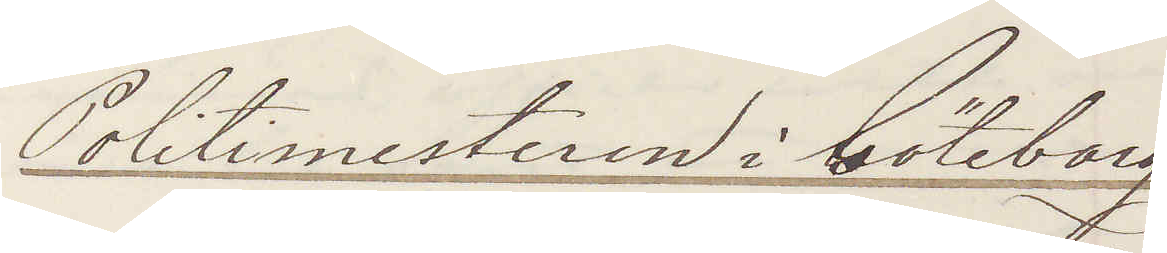Politimesteren i Göteborg
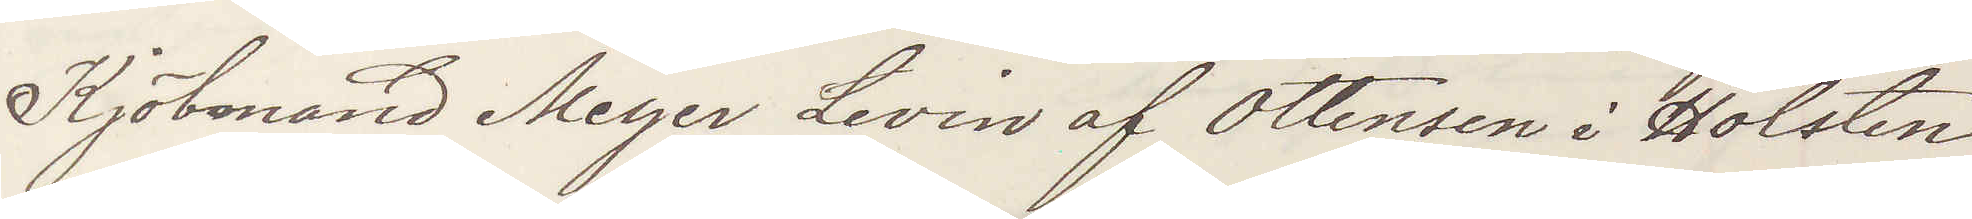Kjöbemand Meyer Levin af Ottensen i Holsten
